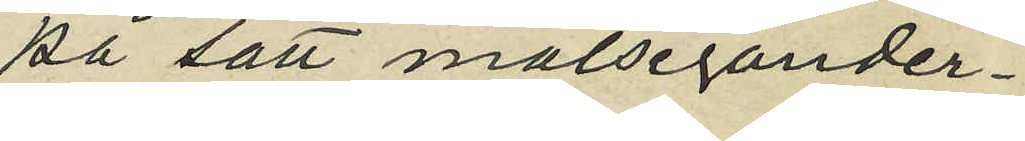på sätt målsegander¬
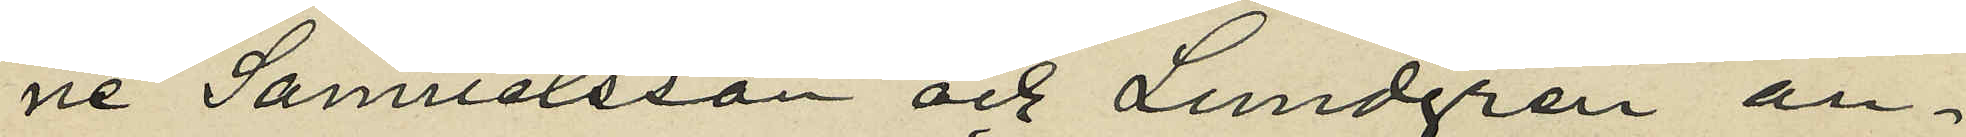ne Samuelsson och Lundgren an¬
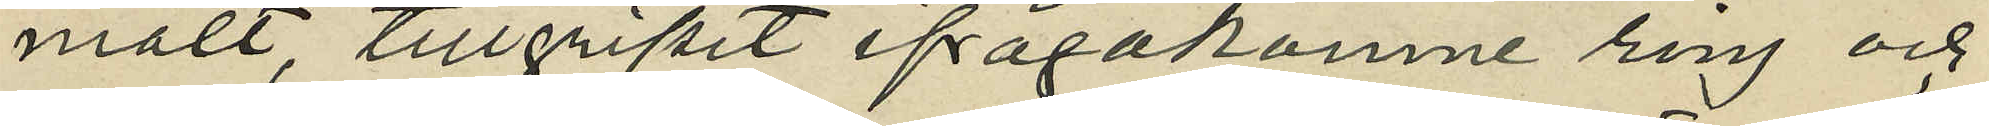mält, tillgripit ifrågakomne ring och
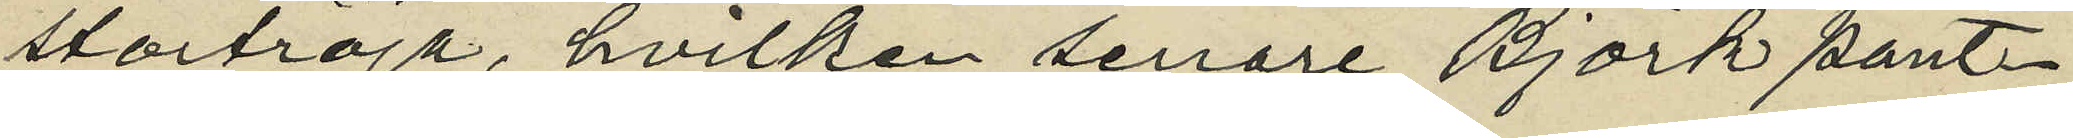stortröja, hvilken senare Björk pant¬
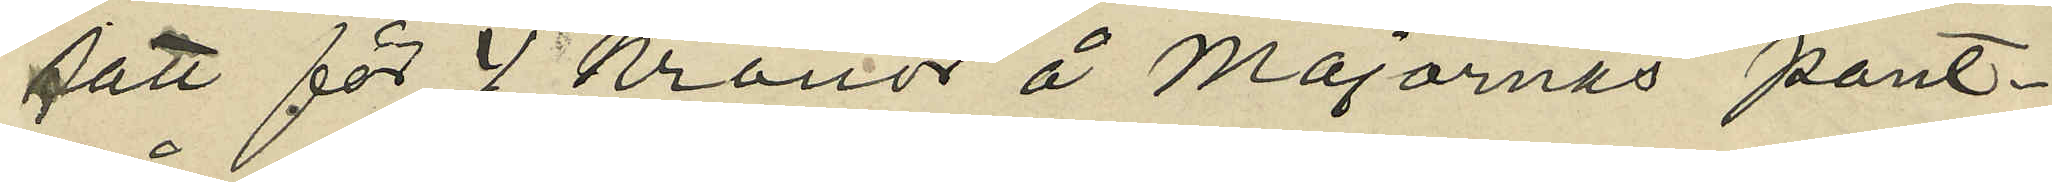satt för 4 kronor å Majornas pant¬
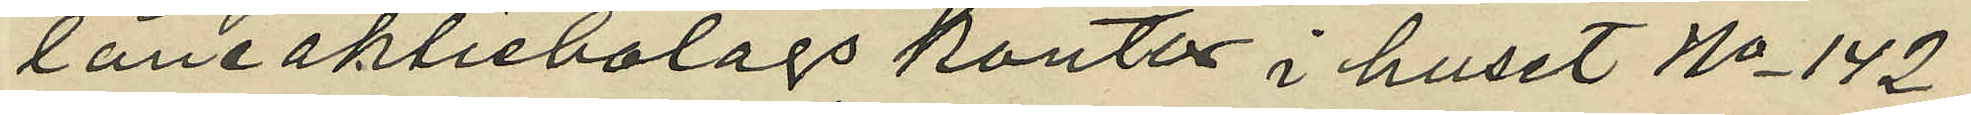låneaktiebolags kontor i huset No 142
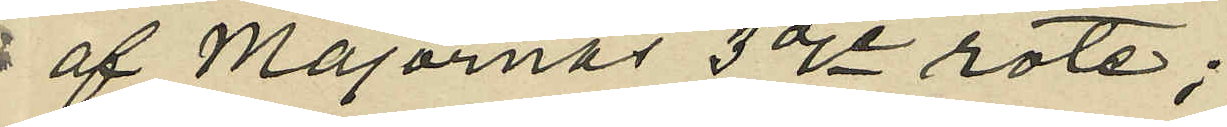af Majornas 3dje rote;
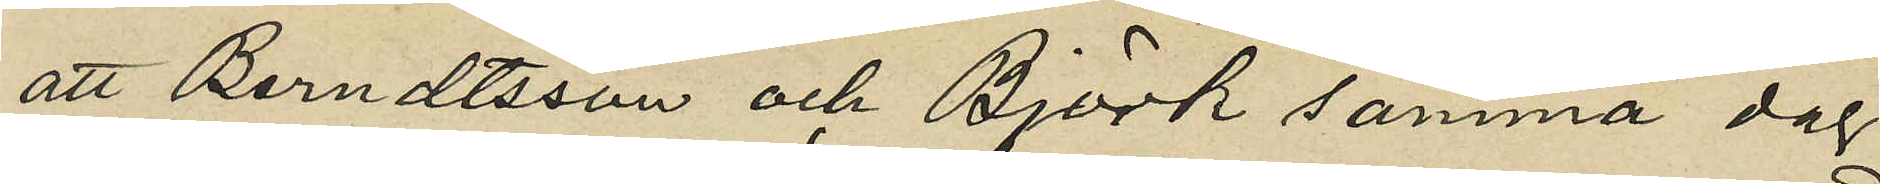att Berndtsson och Björk samma dag
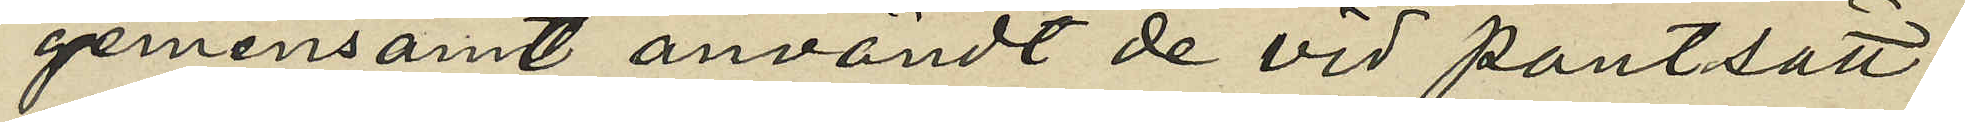gemensamt användt de vid pantsätt¬
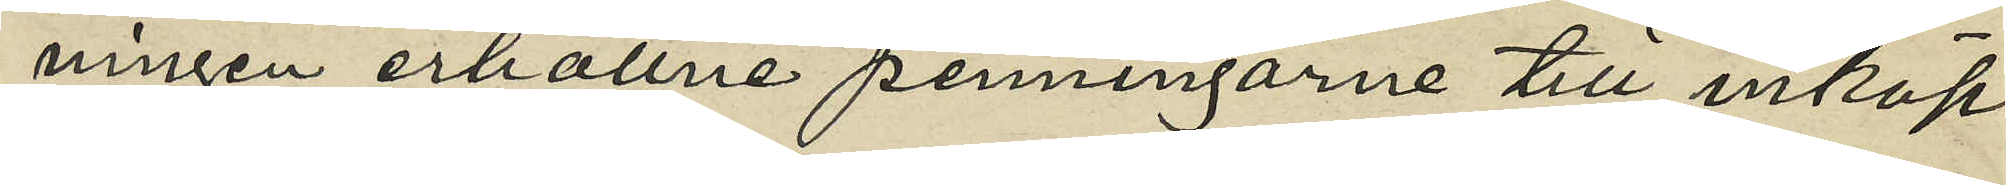ningen erhållne penningarne till inköp
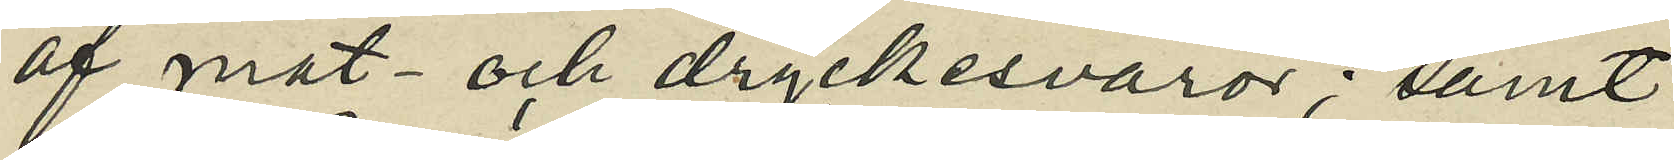af mat- och dryckesvaror; samt
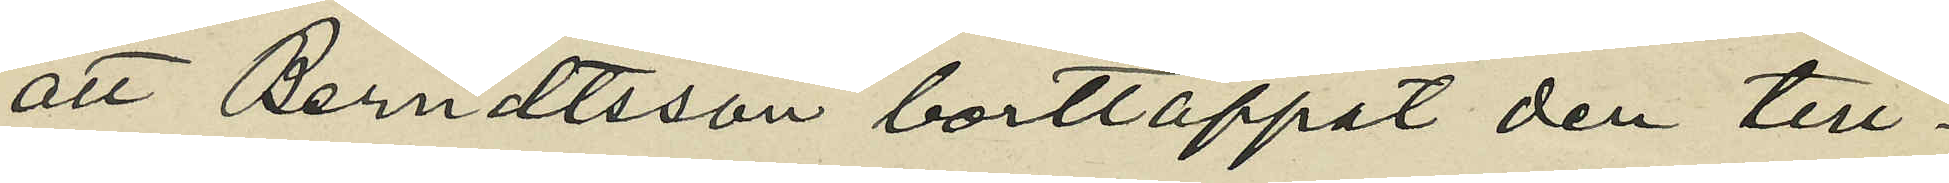att Berndtsson borttappat den till¬
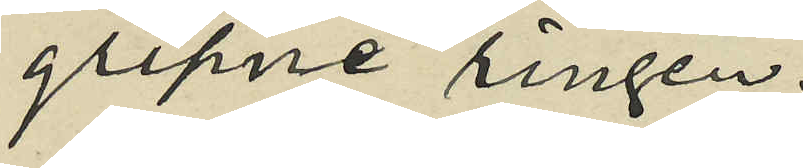gripne ringen.
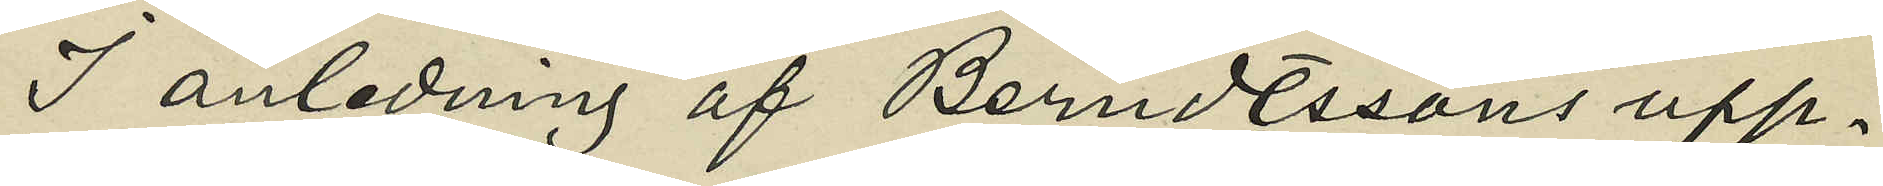I anledning af Berndtssons upp¬
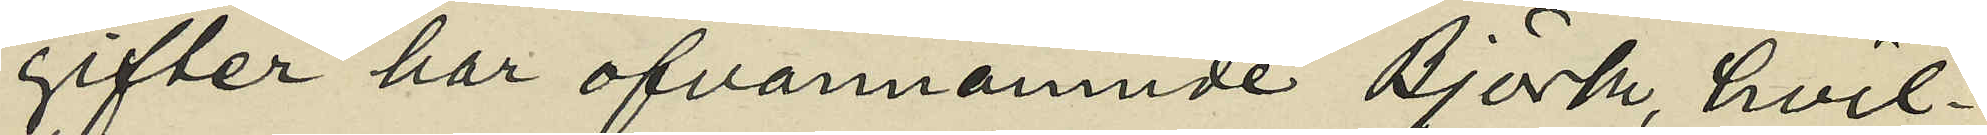gifter har ofvannämnde Björk, hvil¬
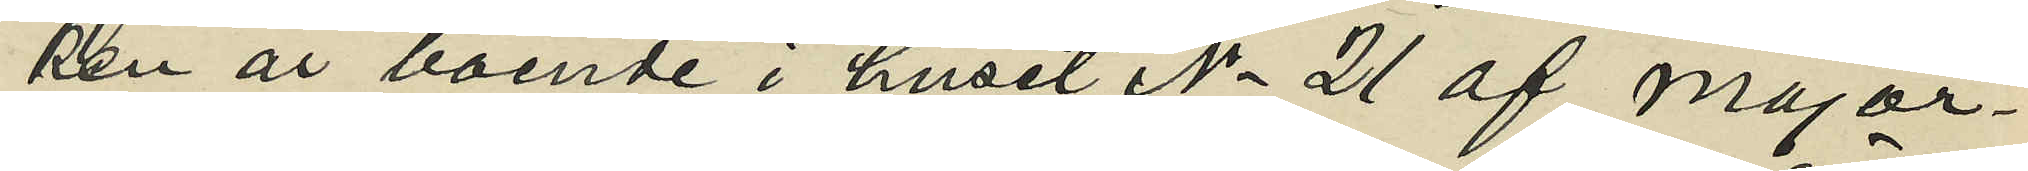ken är boende i huset No 21 af Major¬
